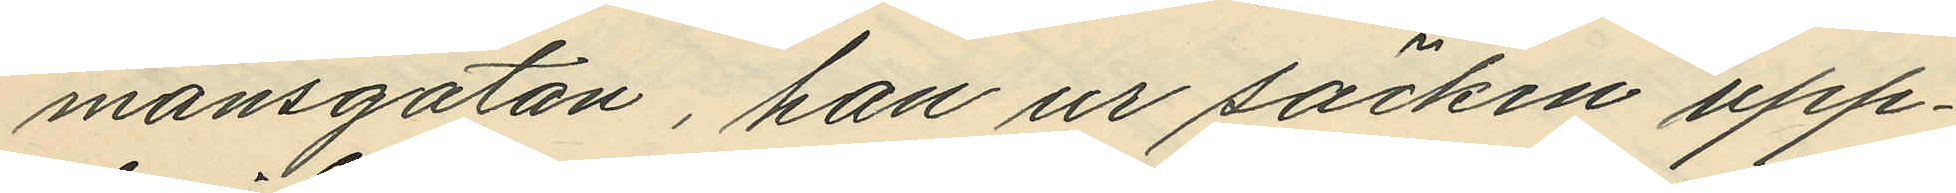mansgatan, han ur säcken upp¬
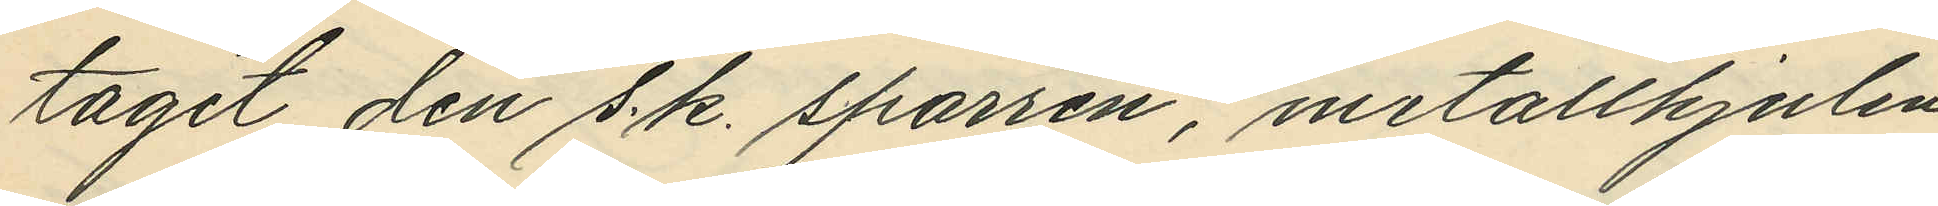tagit den s.k. sparren, metallhjulen,
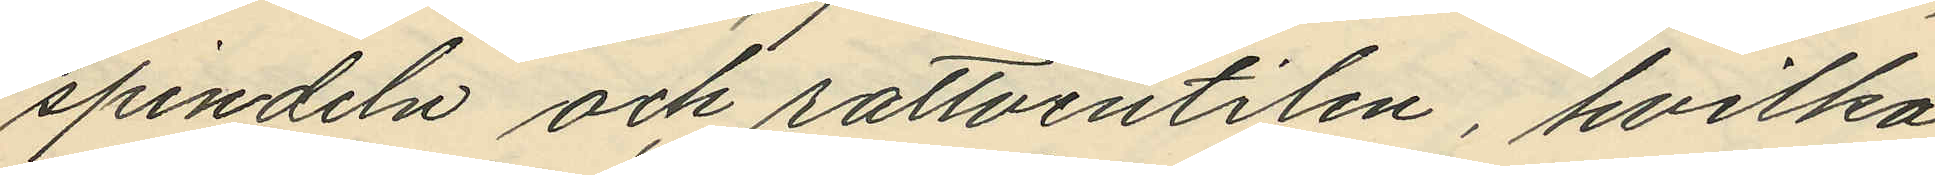spindeln och rattventilen, hvilka
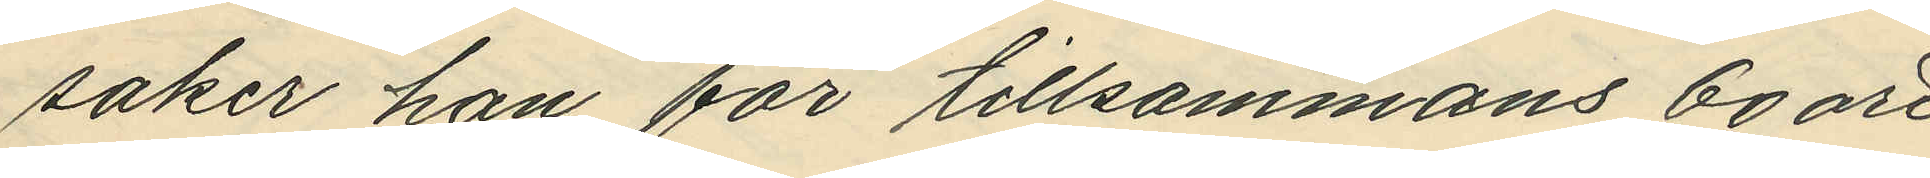saker han för tillsammans 60 öre
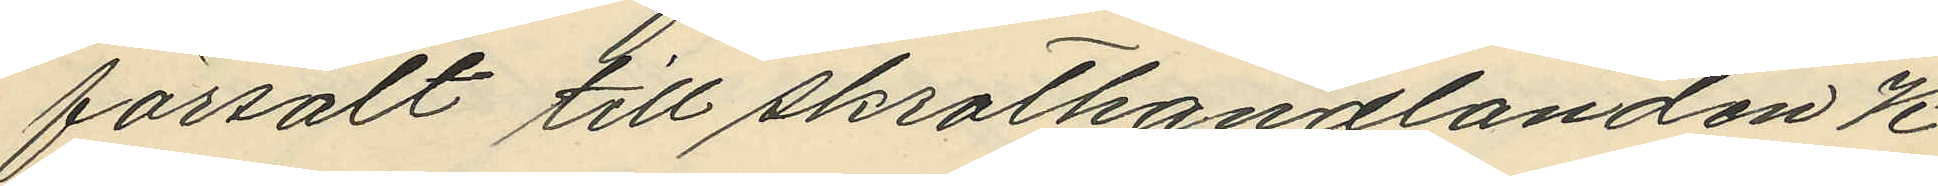försålt till skrothandlanden K
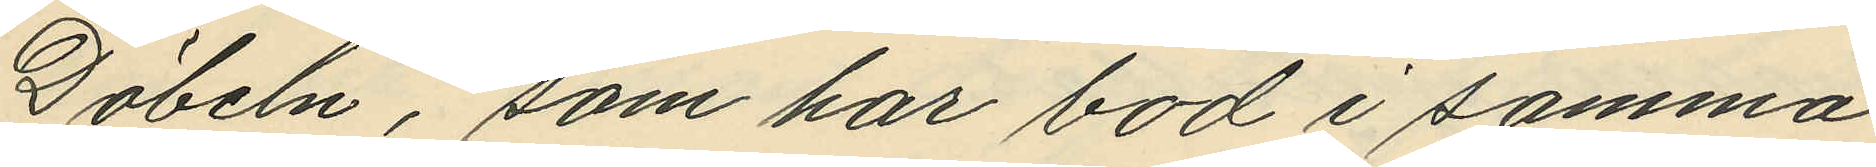Döbeln, som har bod i samma
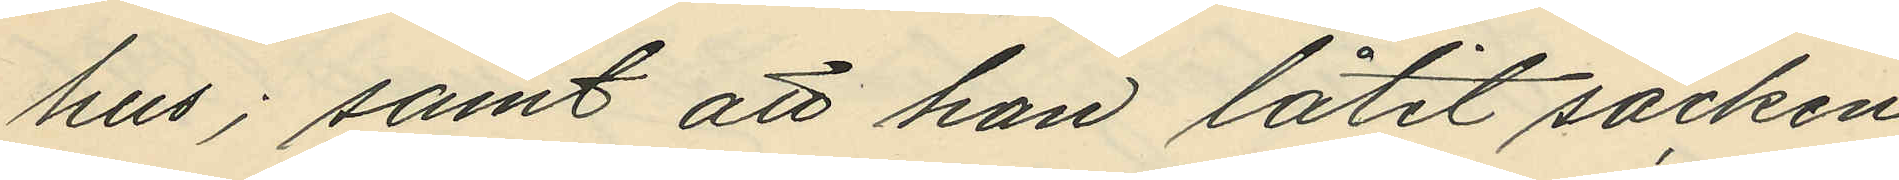hus; samt att han låtit säcken
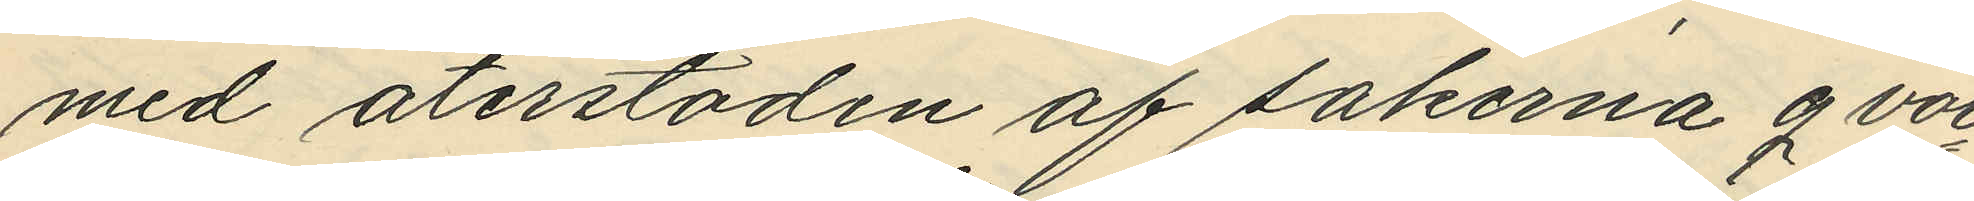med återstoden af sakerna qvar¬
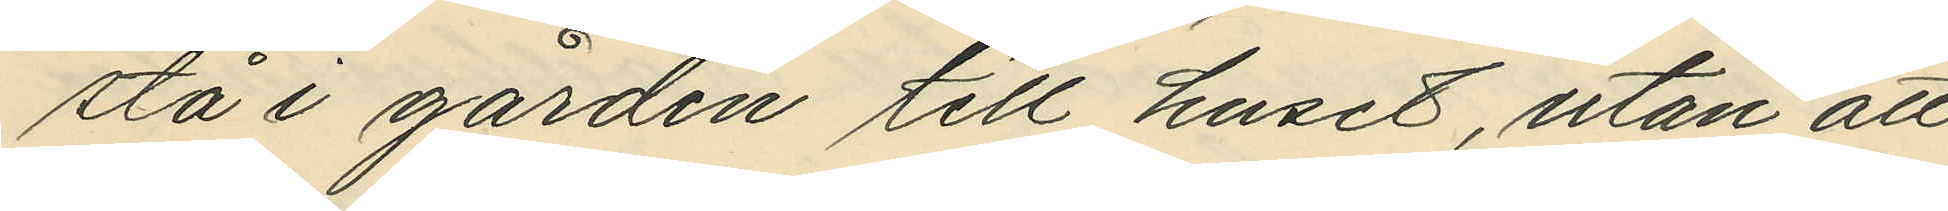stå i gården till huset, utan att
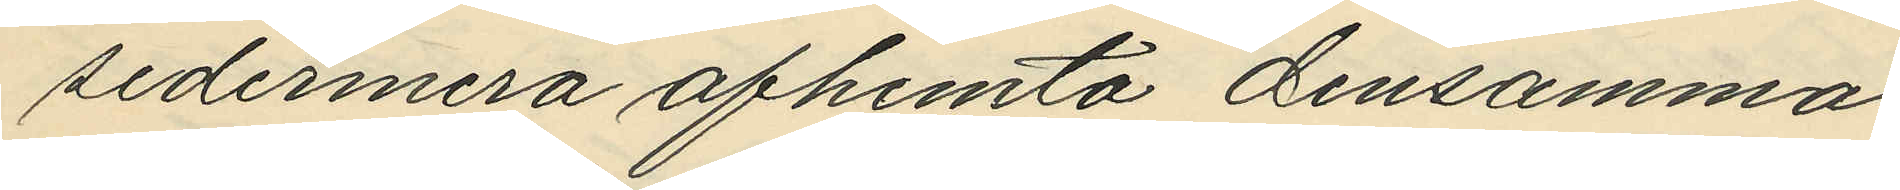sedermera afhemta densamma.
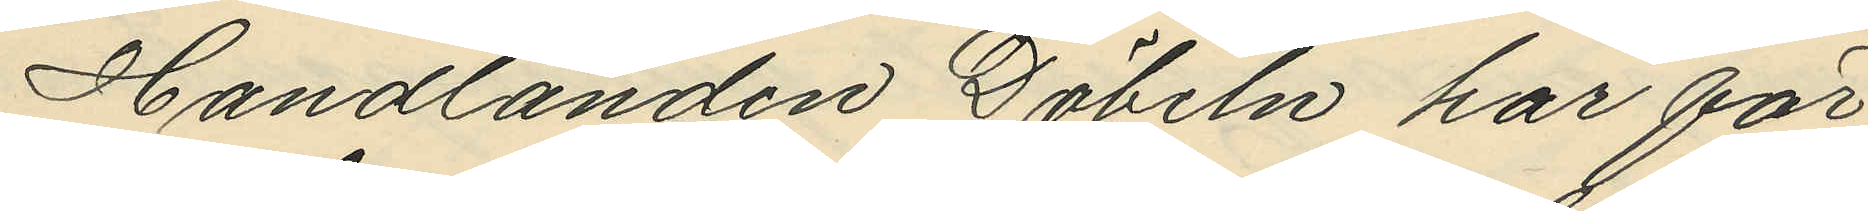Handlanden Döbeln har för¬
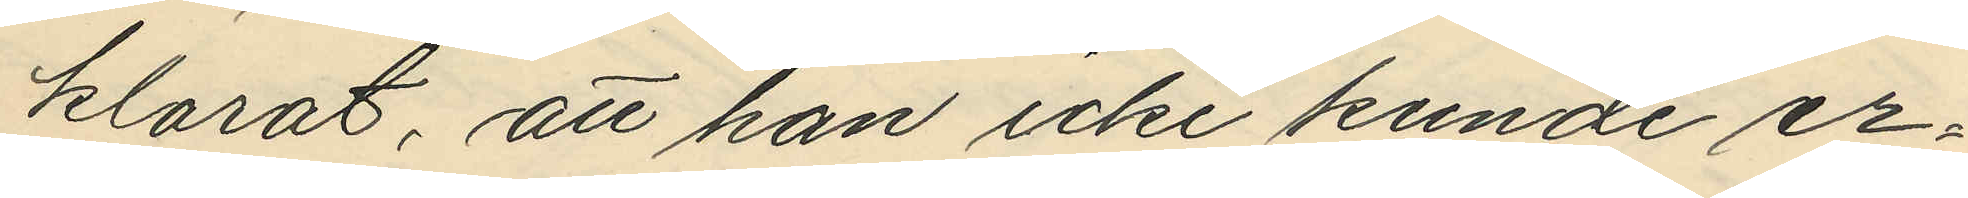klarat, att han icke kunde er¬
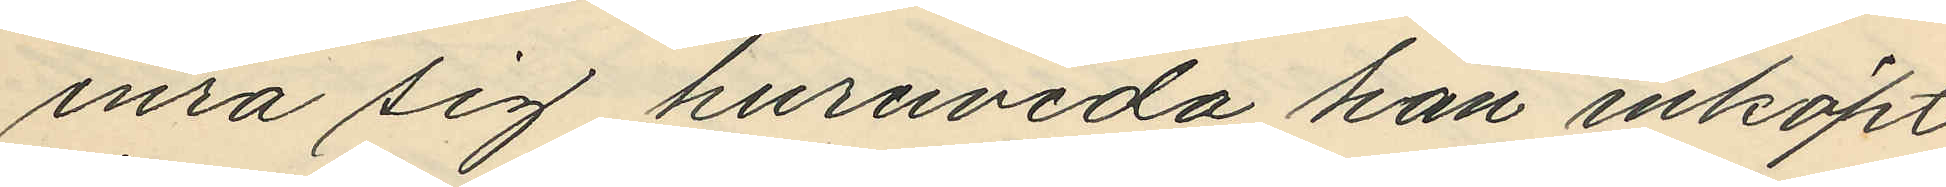inra sig huruvida han inköpt
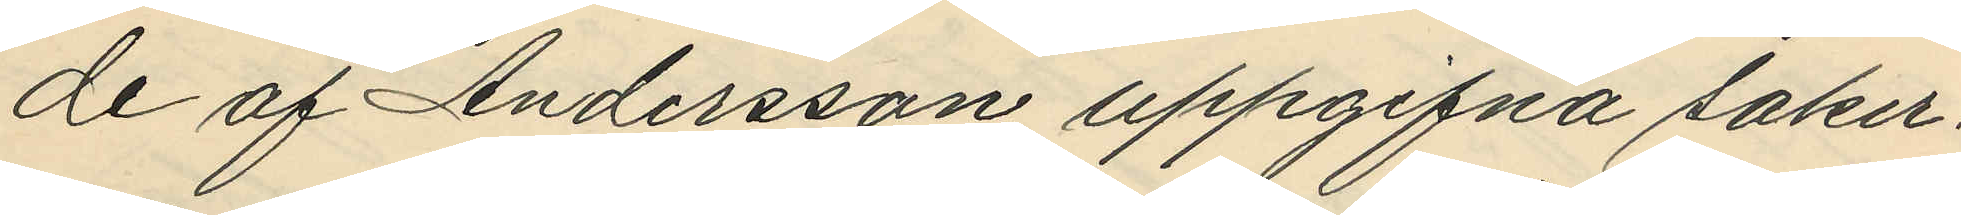de af Andersson uppgifna saker¬
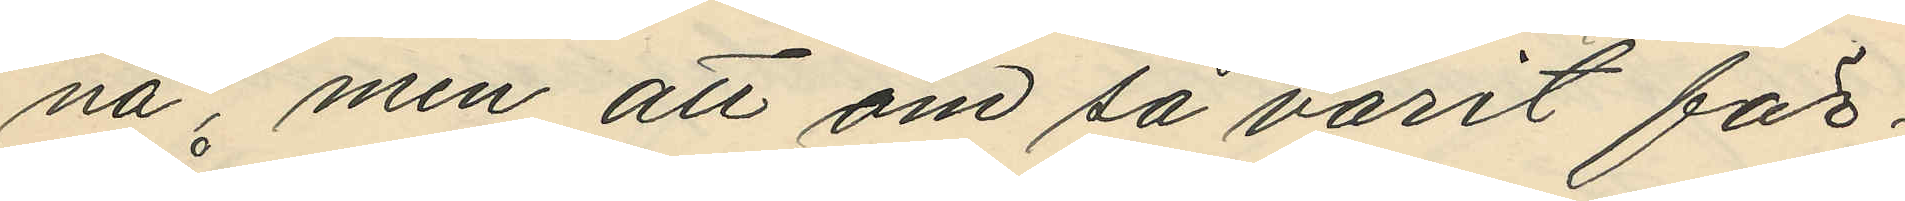na, men att om så varit för¬
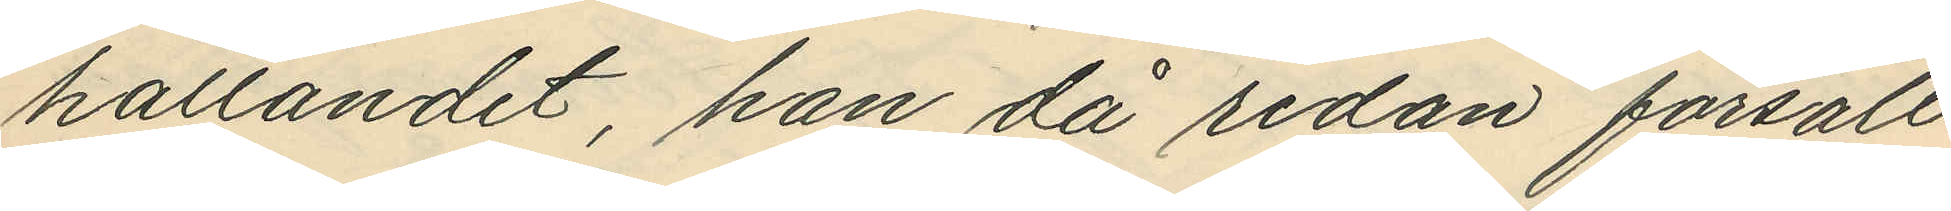hållandet, han då redan försålt
